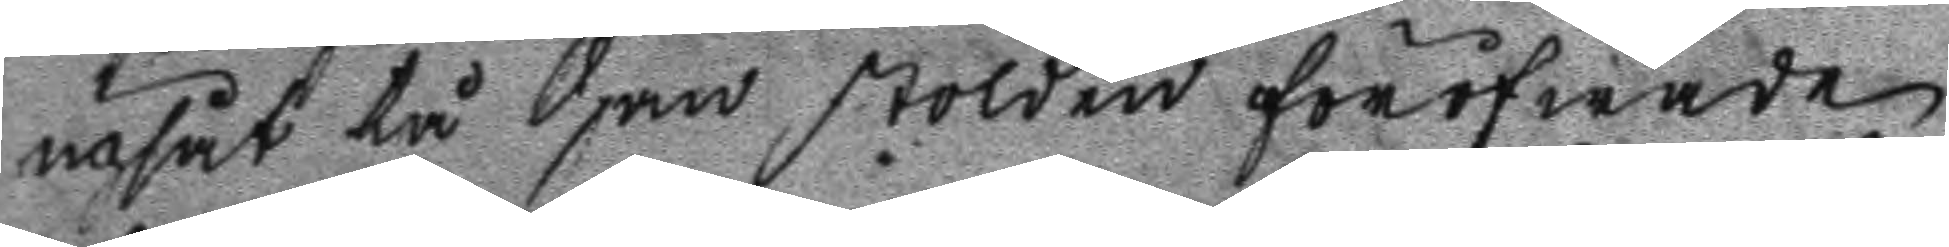upsåt tå han stölden föröfwade
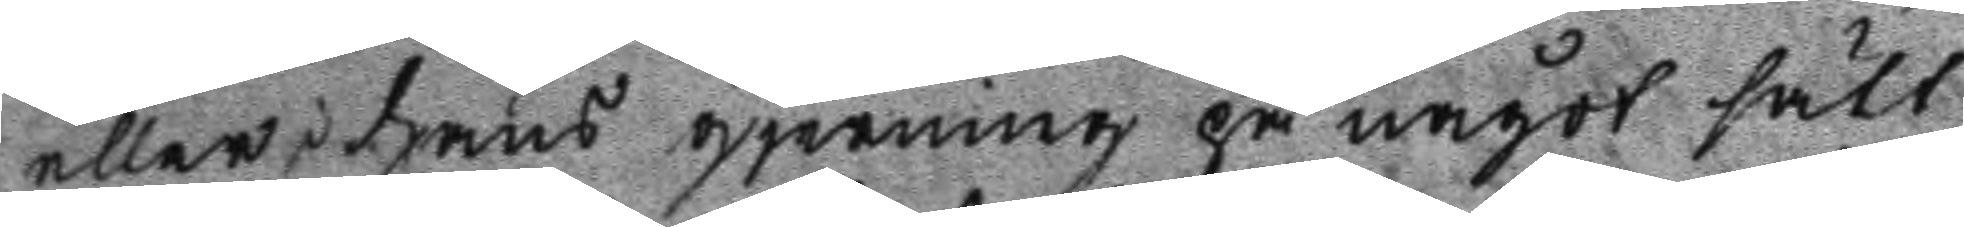eller hans gjerning på något sätt
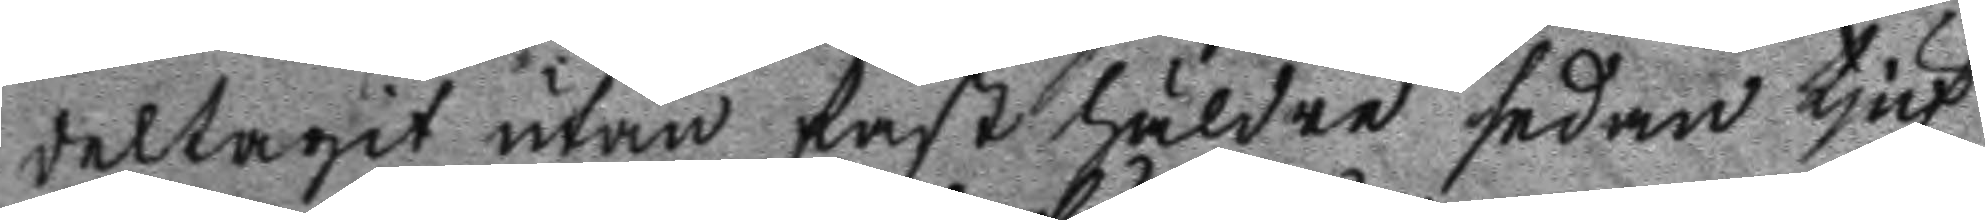deltagit utan fast häldre sedan tjuf
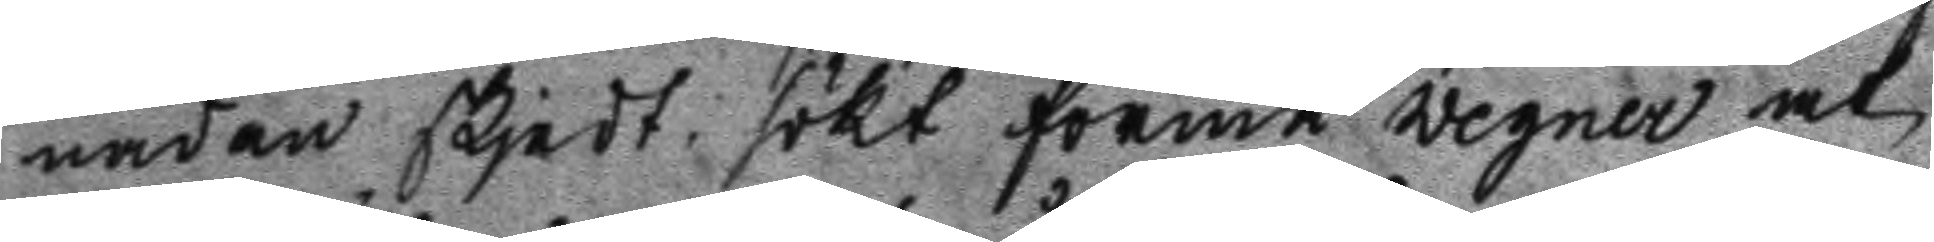naden skjedt sökt dörmå wegner at
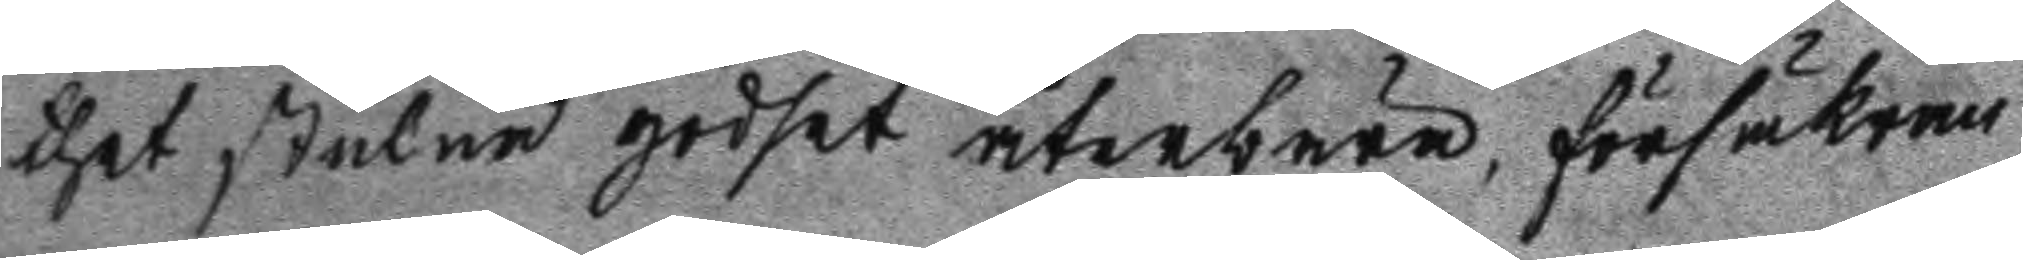thet stulne godset återbära, försäkran
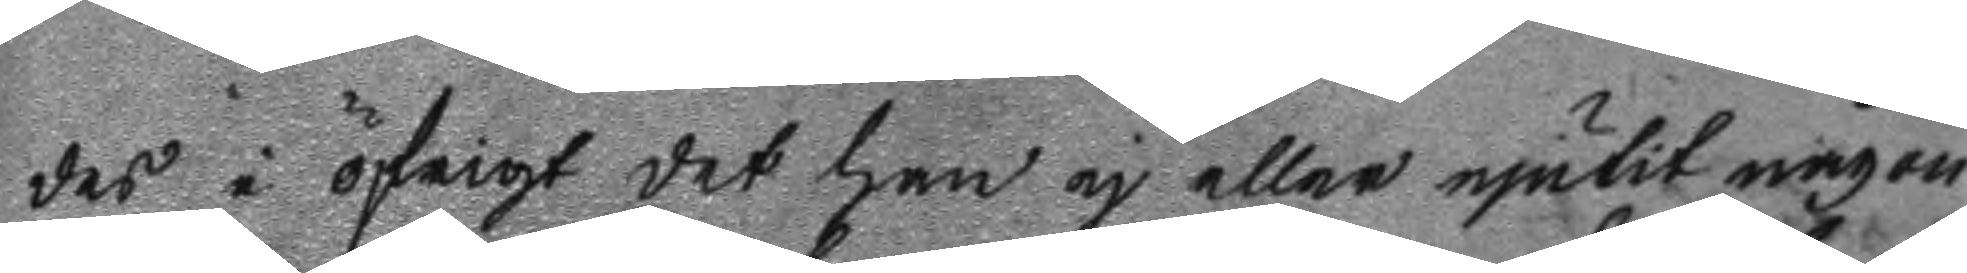des i öfrigt det han ej eller njutit någon
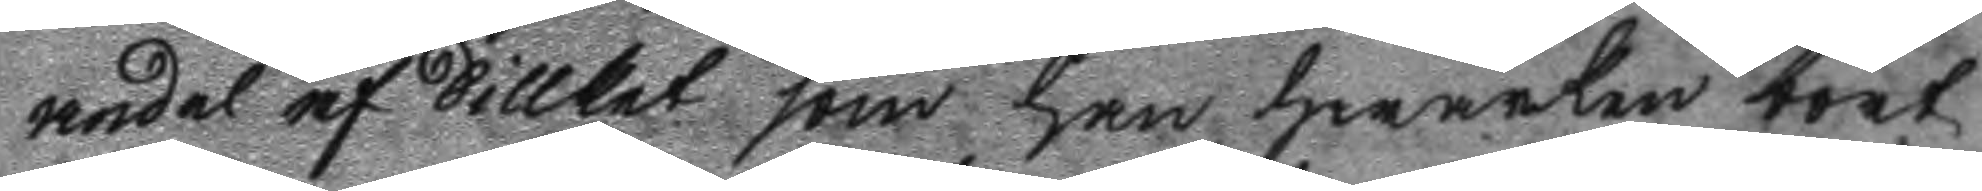andel af Sillket som han hwarken bort
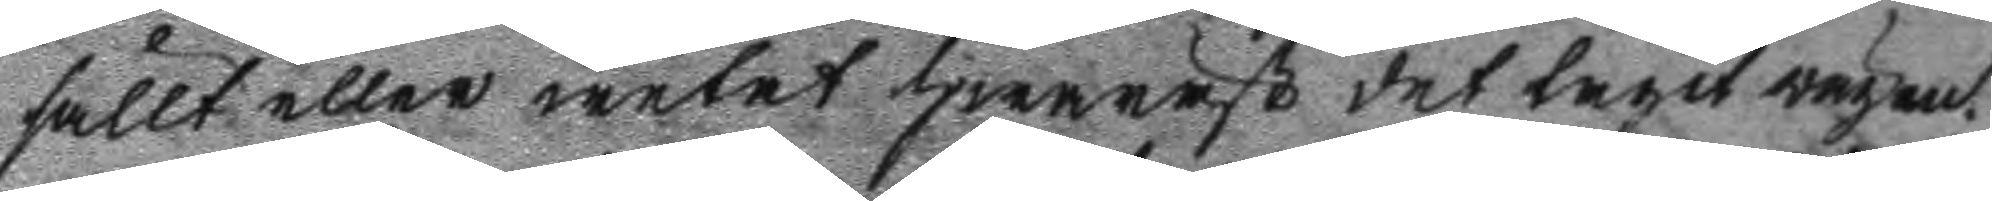sållt eller wetat hwarnäst det tagit wägen.
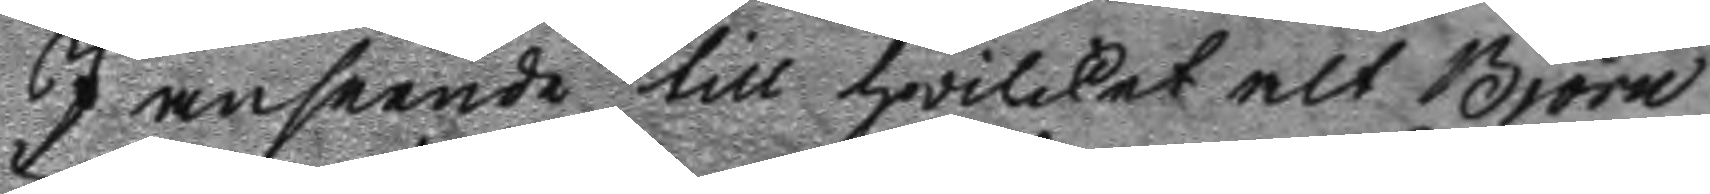I anseende till hwilket alt Björn
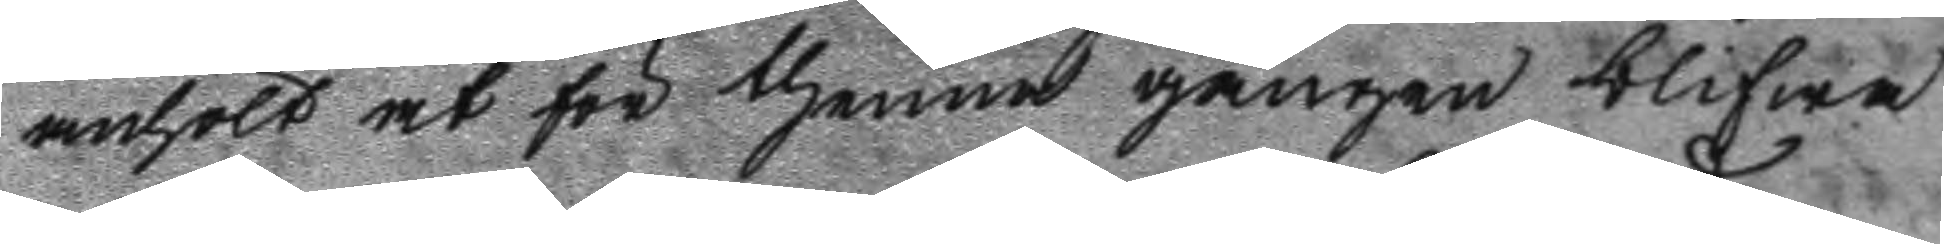anhölt at för thenna gången blifwa
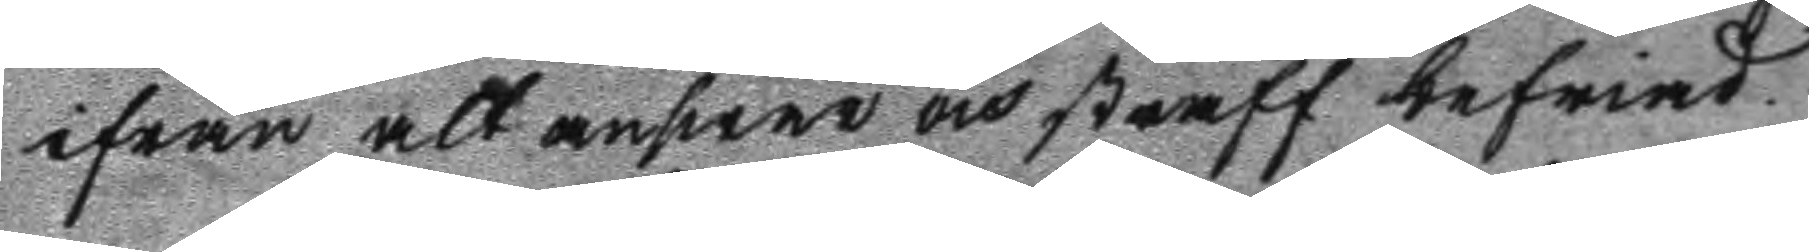ifrån alt answar och straff befriad.
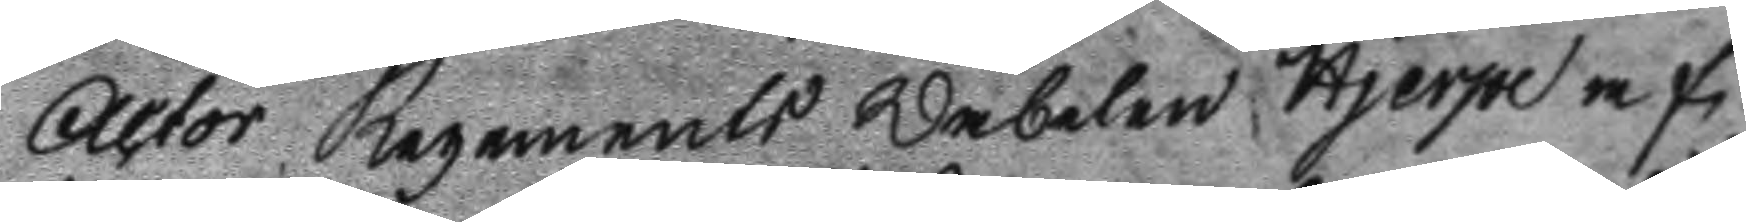Actor Regements Wabelen Hjerpe af¬
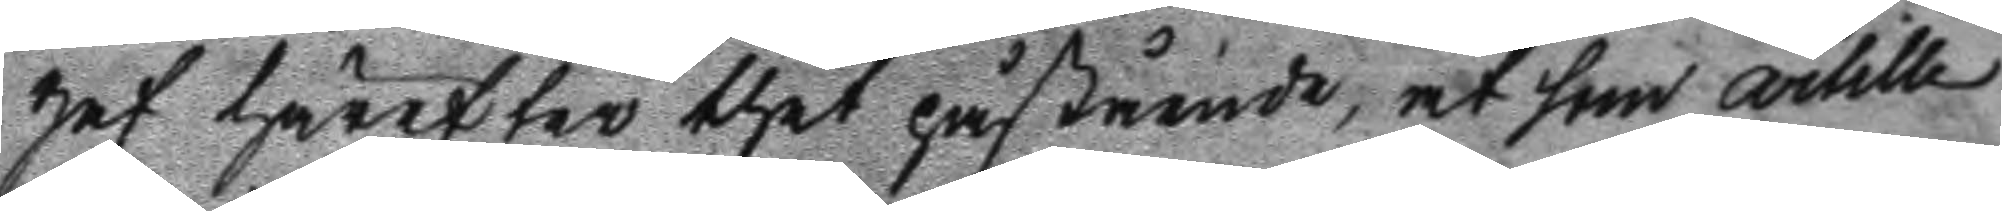gaf härefter thet påstående, at som artille
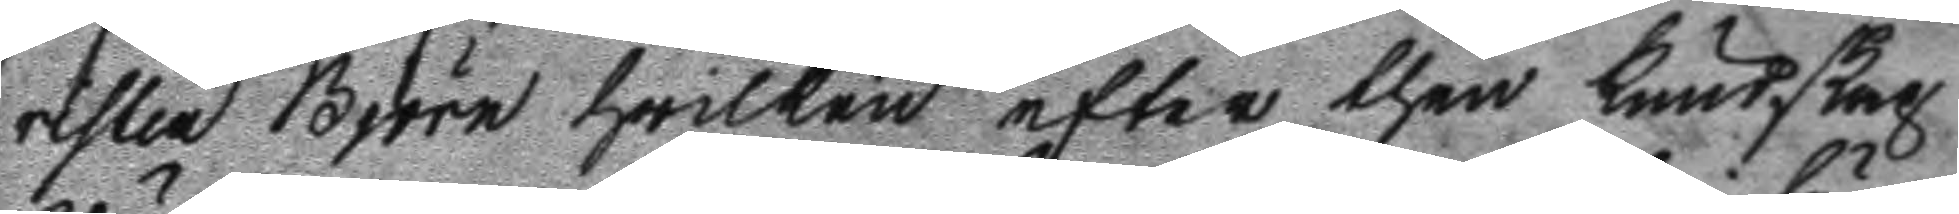risten Björn hwilken efter then kundskap
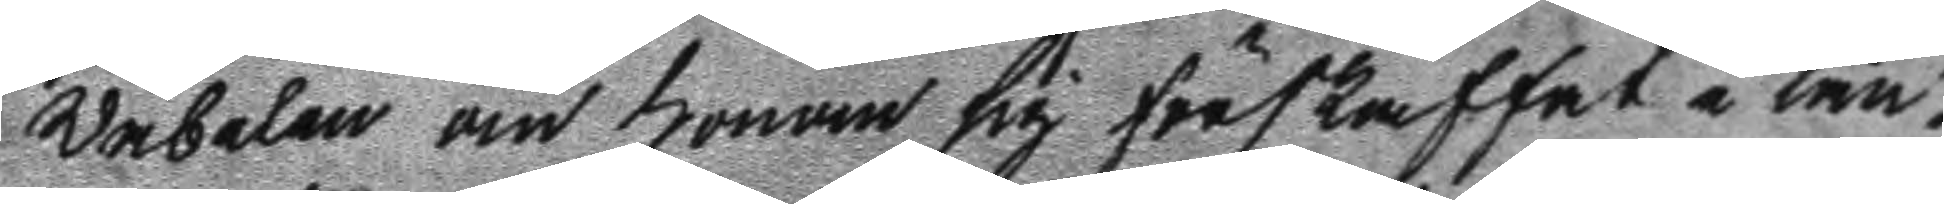Wäbelen om honom sig förskaffat i län
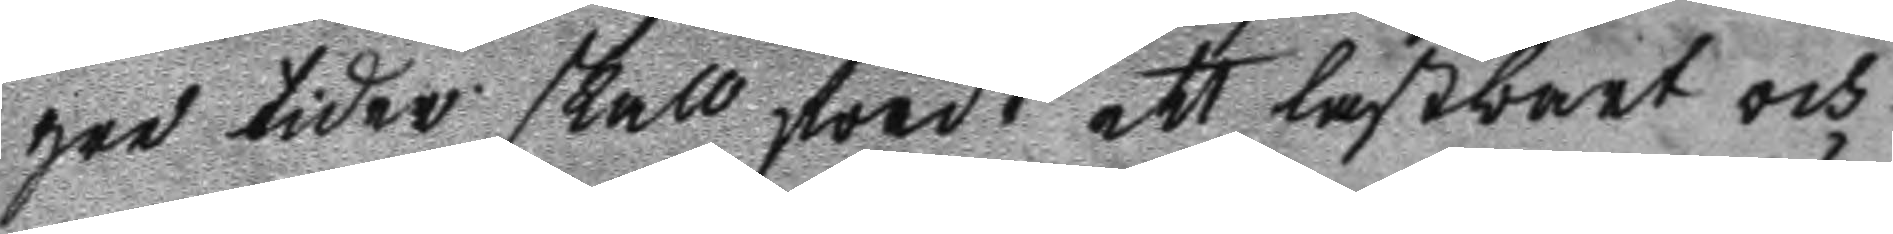gre tider skall fördt ett lastbart och
